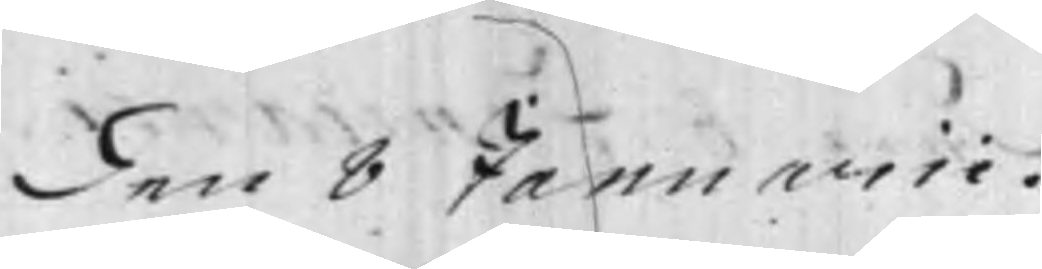den 8 Januarii.
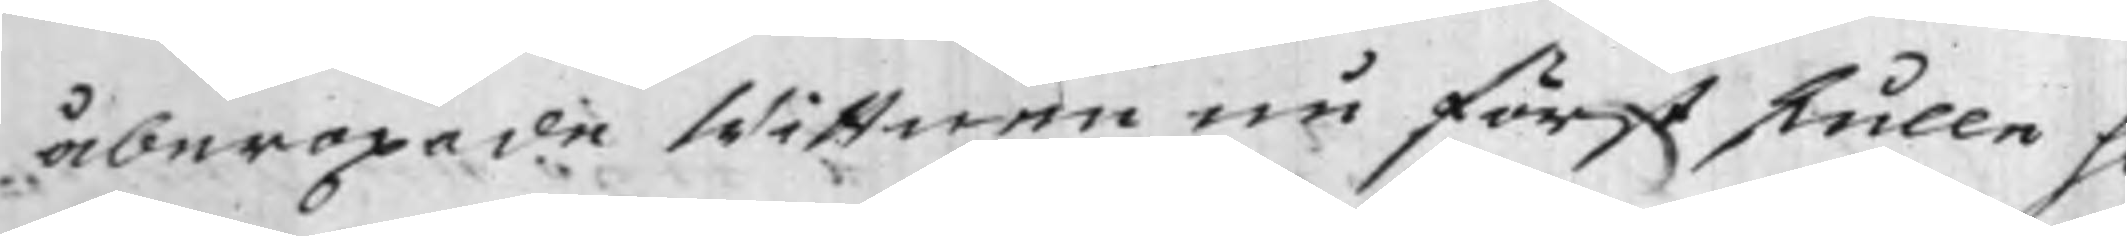åberopade Wittnen nu först skulle h¬
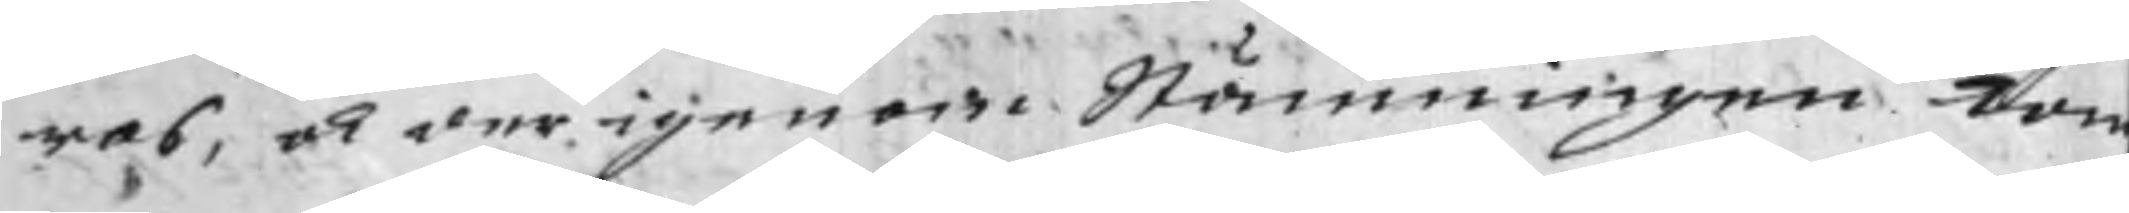ras, och derigenom Stämningen kom¬
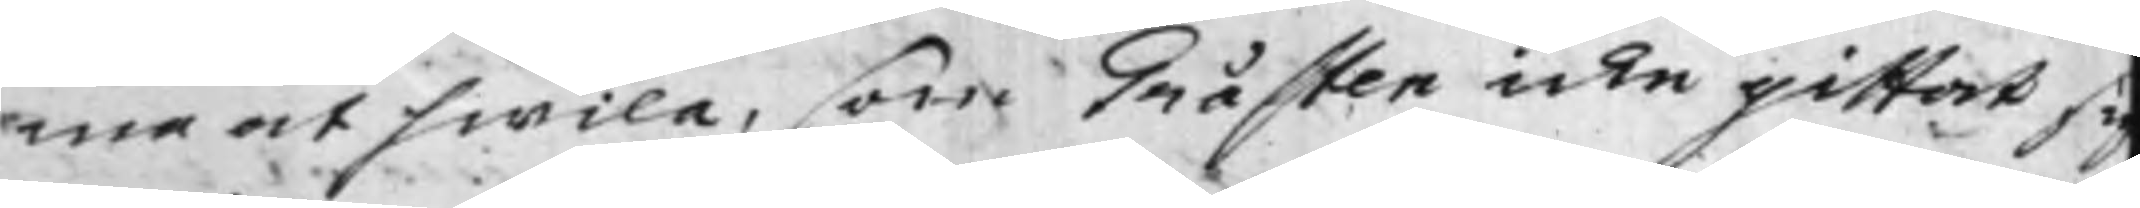ma at hwila, som Gråsten icke gittat si
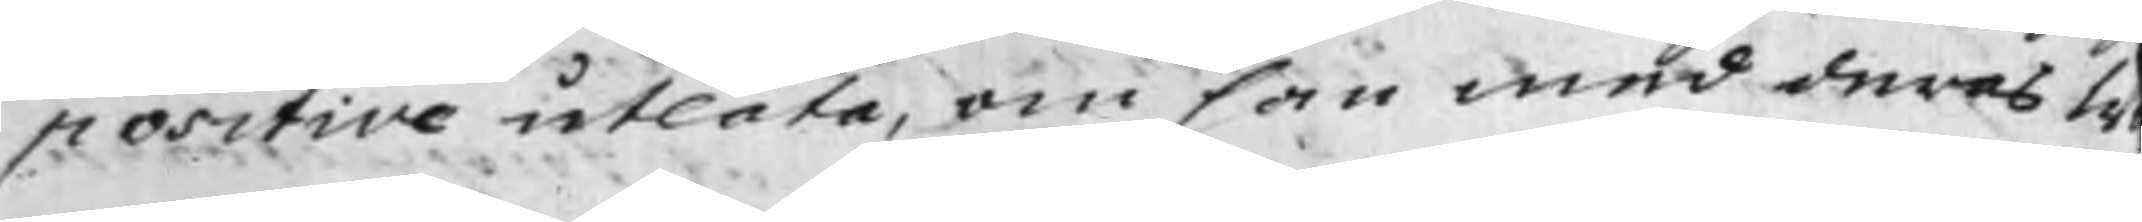positive utlåta, om han med deras W¬
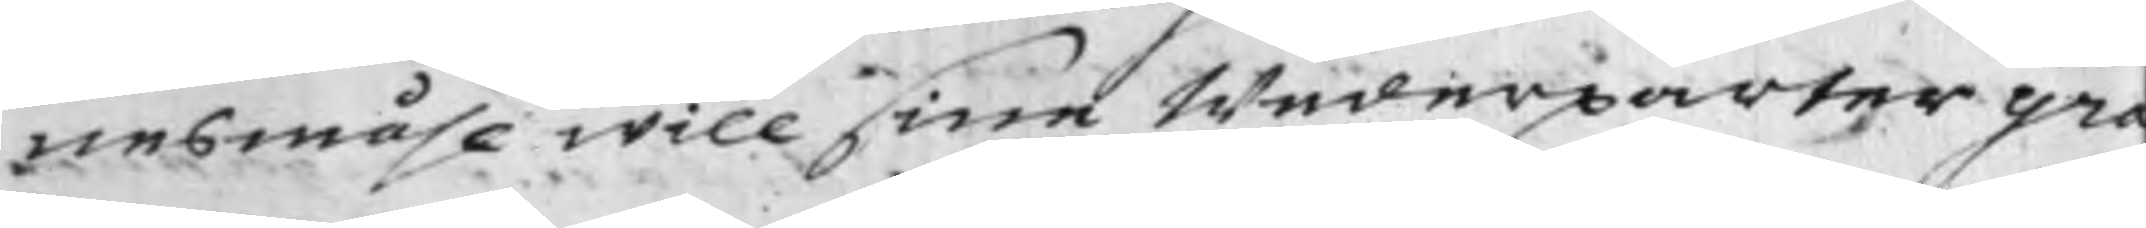nesmåhl will sine Wederparter gra¬
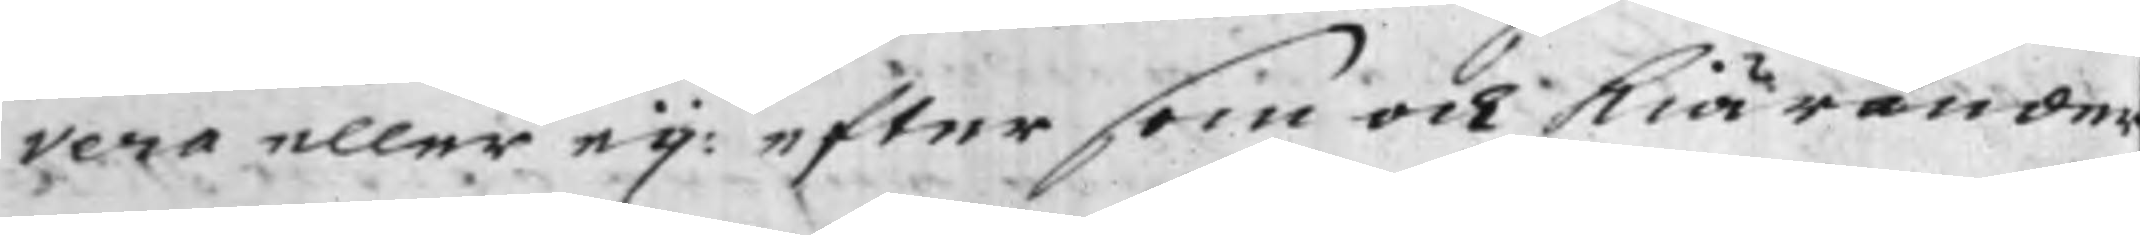vera eller eij: eftersom och Kiärander¬
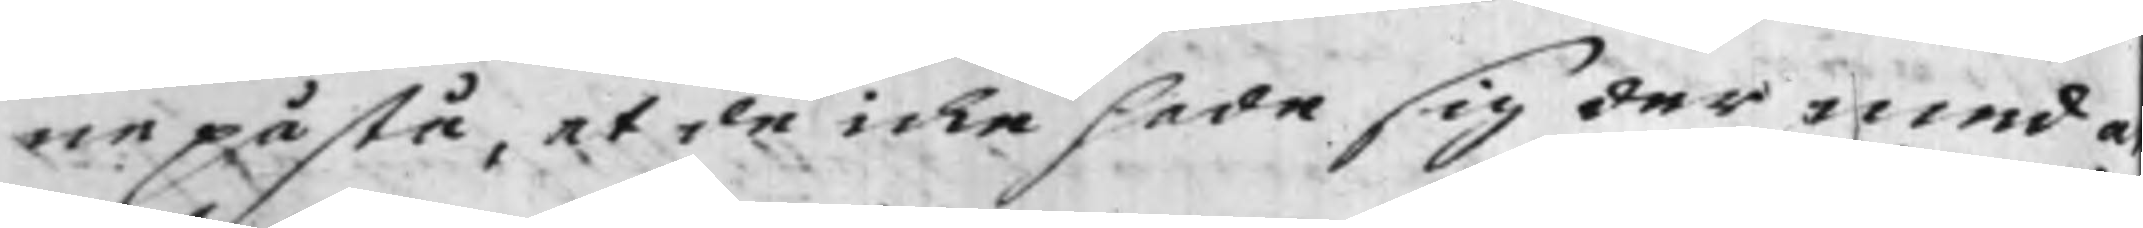ne påstå, at de icke hade sig der med a
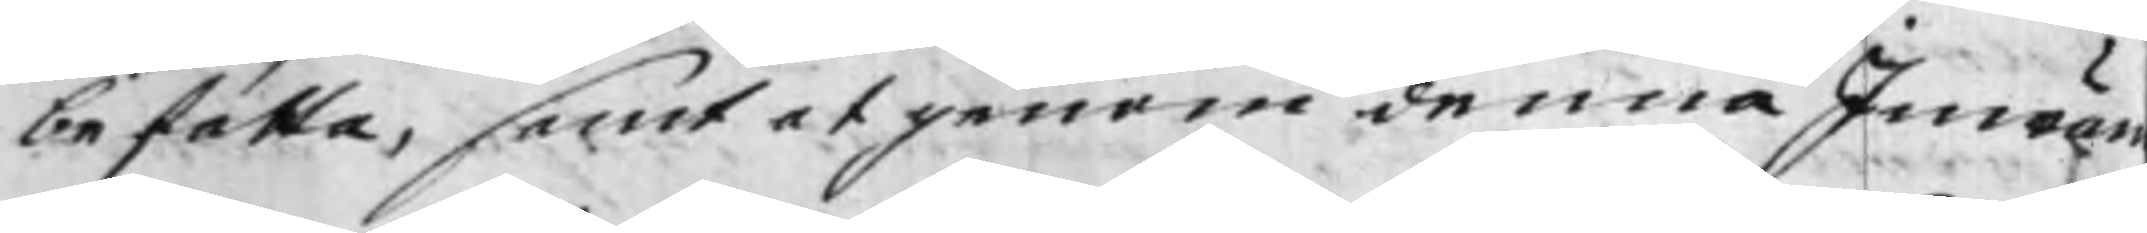befatta, samt at genom denna Inwän¬
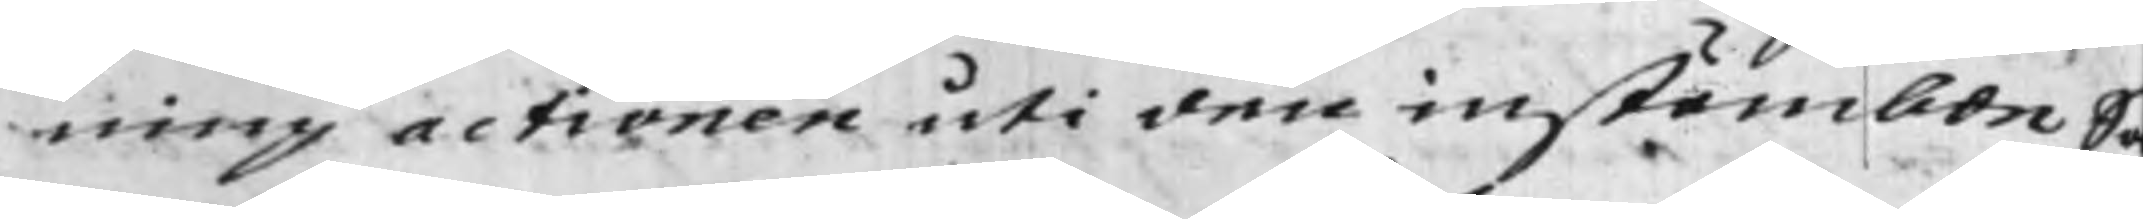ning actionen uti den instämbde S¬
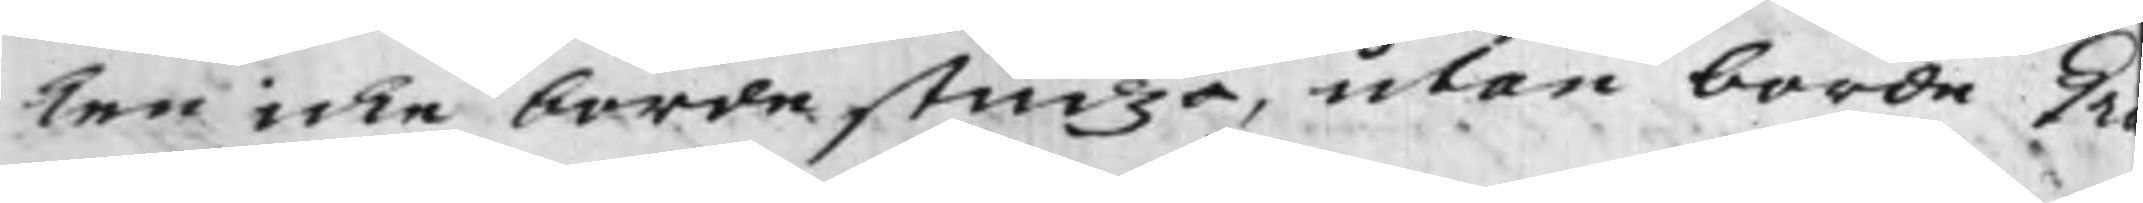ken icke borde studza, utan borde Gr¬
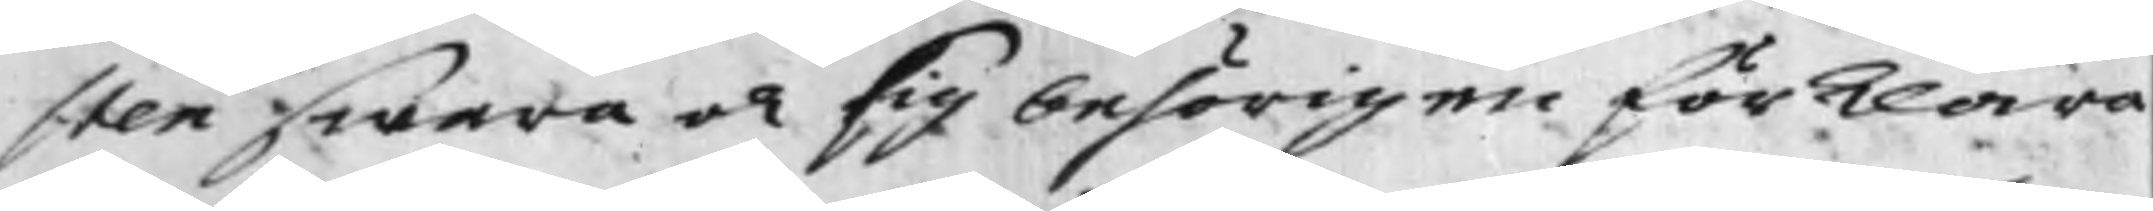sten swara och sig behörigen förklara
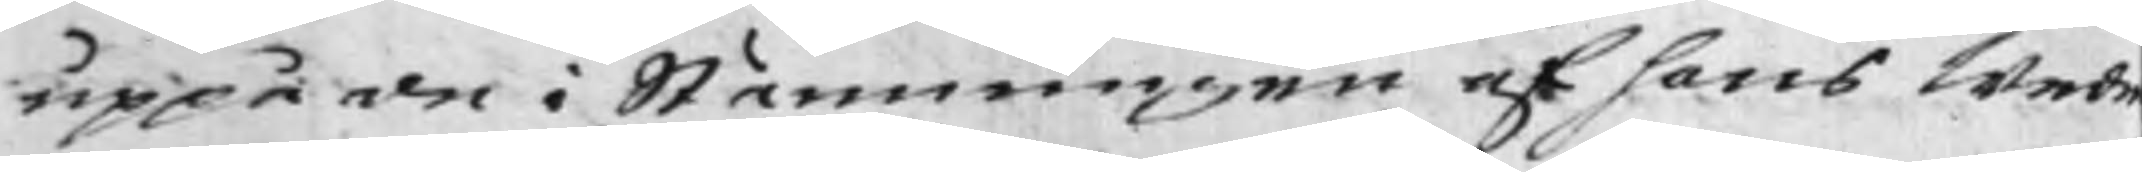uppå den i Stämningen af hans Wede¬
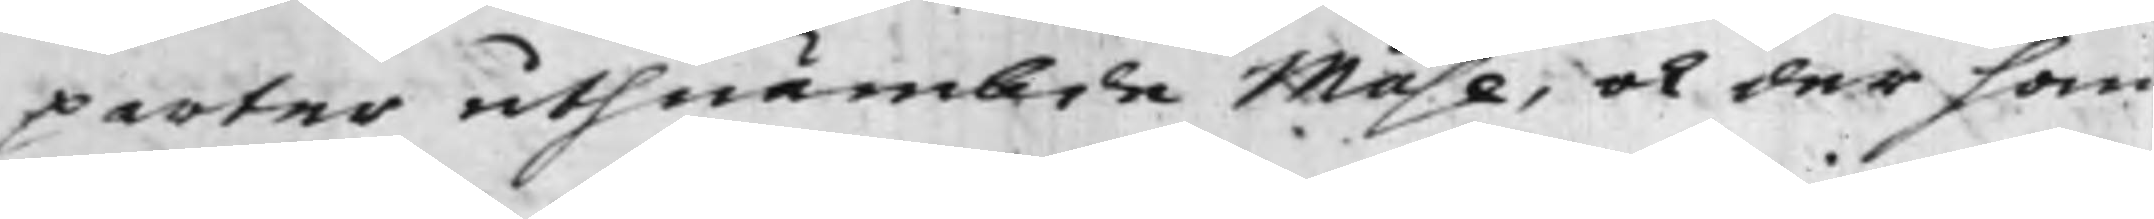parter uthnämbde Måhl, och der han
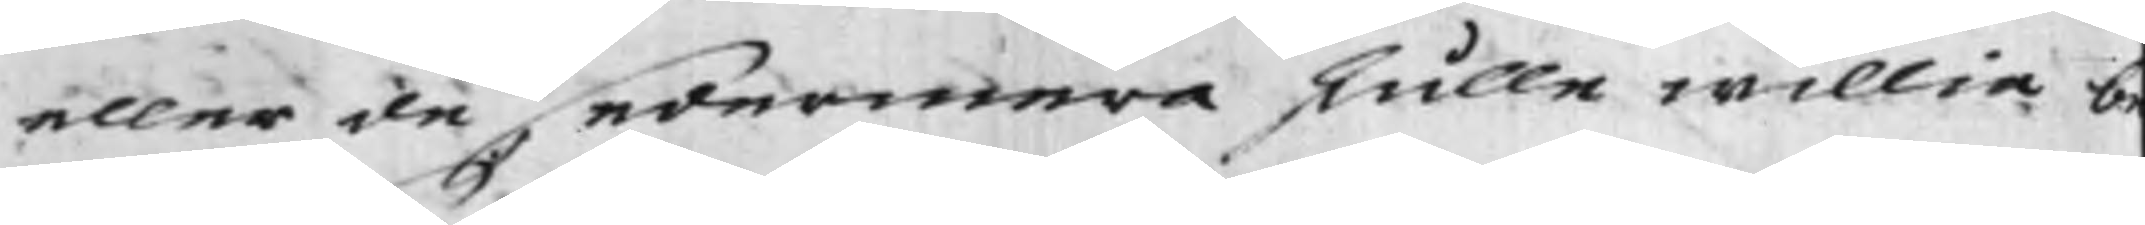eller de sedermera skulle willia b¬
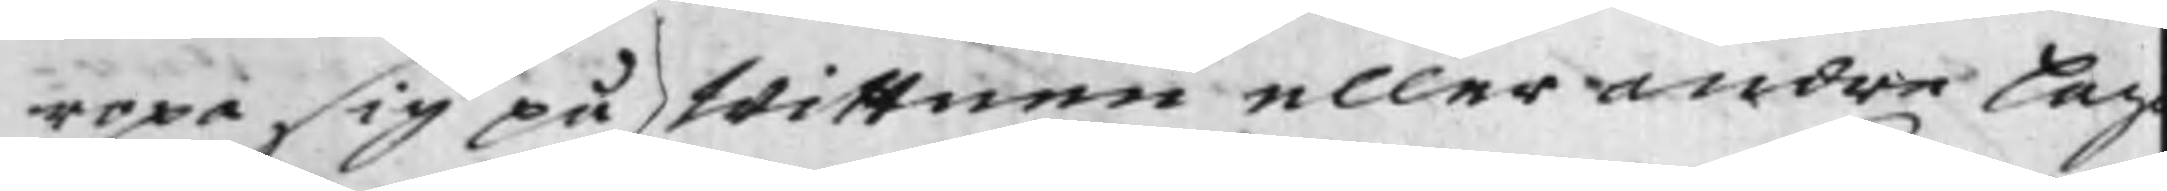ropa sig på Wittnen eller andra lag
